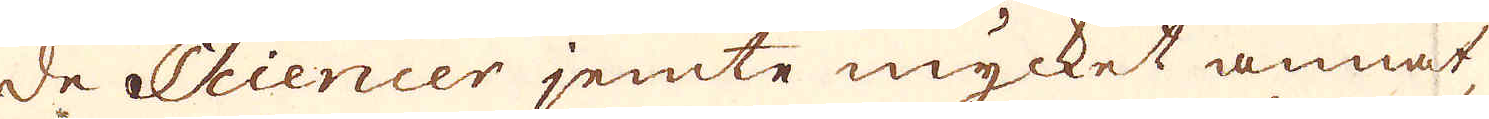de Sciencer jemte mycket annat,
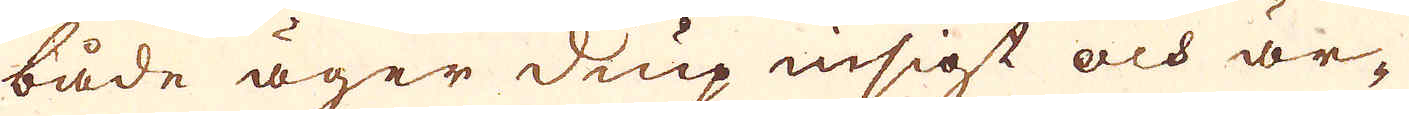både äger diup insigt och är-
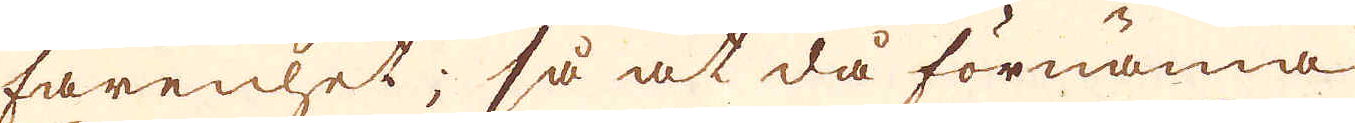farenhet; så at då förnäma
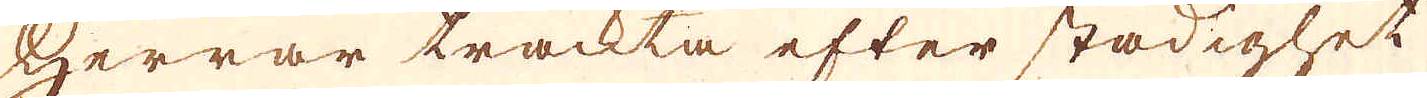Herrar trackta efter stadighet
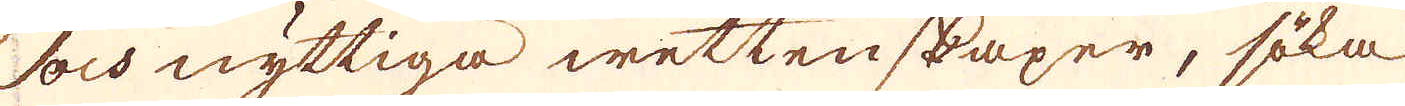och nyttiga wettenskaper, söka
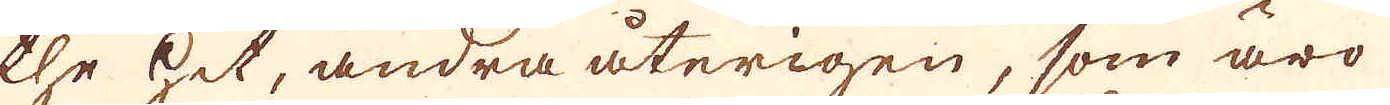the hit, andra återigen, som äro
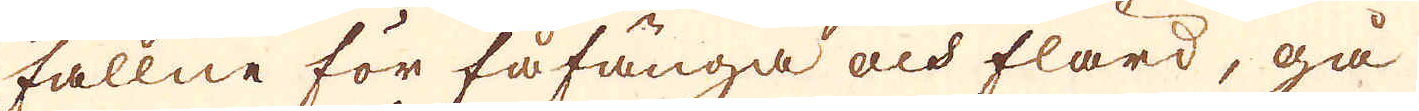fallne för fåfånga och flärd, gå
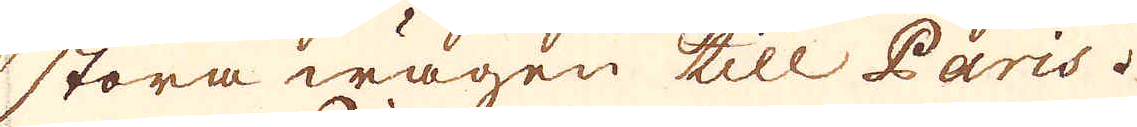stora wägen till Paris.
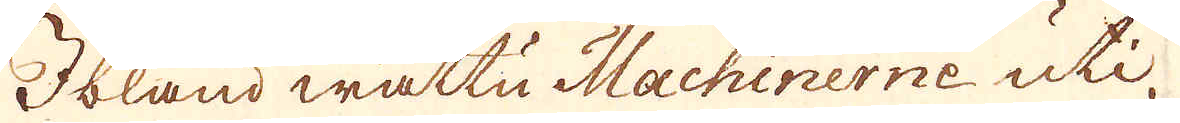Ibland wattu Machinerne uti
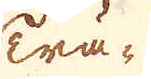Trä-
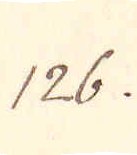126.
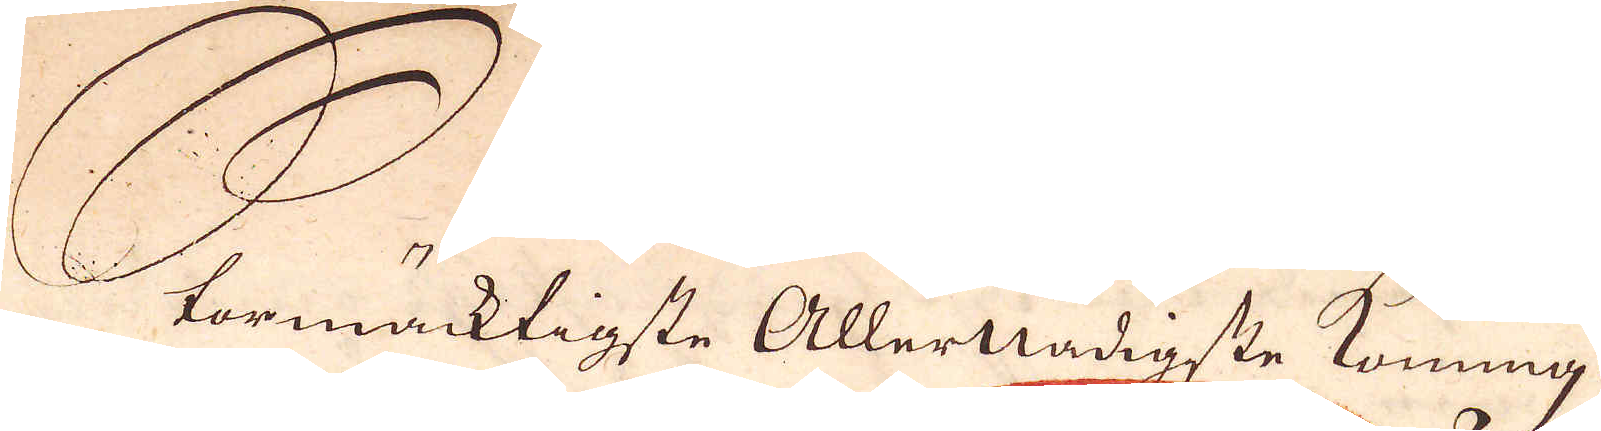Stormäcktigste Allernådigste konung.
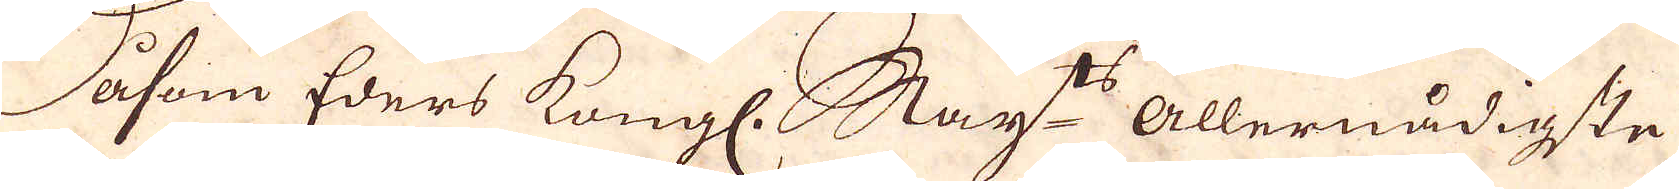Såsom Eders Kungl. May:ts allernådigste
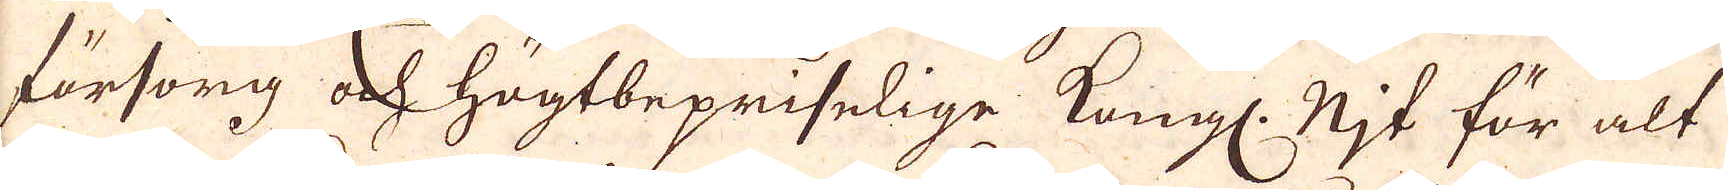försorg och högtbepriselige Kongl. Mjt för alt
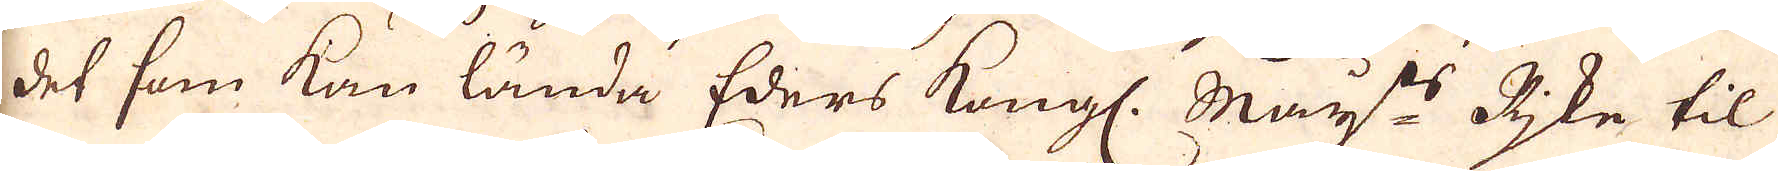det som kan lända Eders Kongl. May:ts Rike til
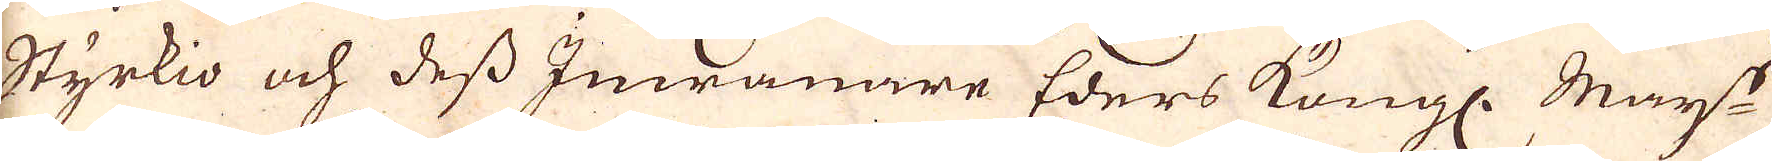Styrkia och dess Imwanare Eders Kongl. May:ts
